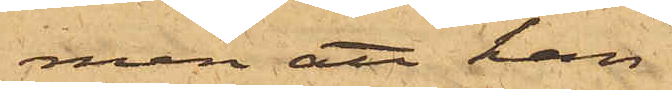men att han
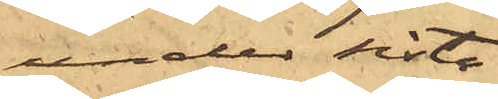under sista
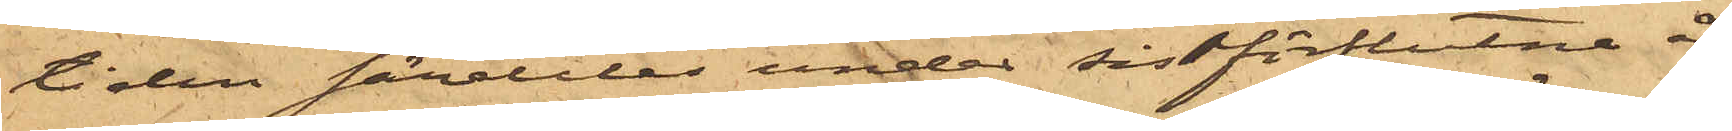tiden således under sistförflutne år
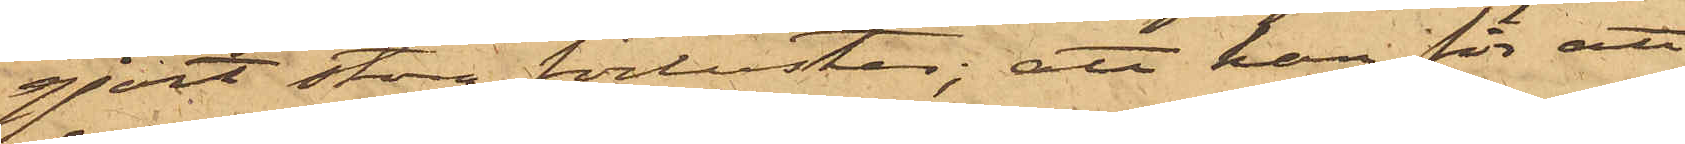gjort stora förluster; att han för att
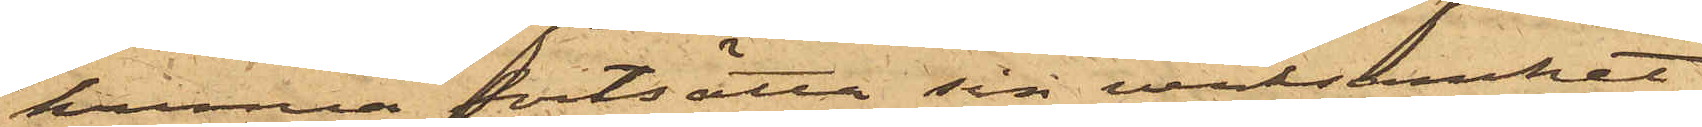kunna fortsätta sin verksamhet
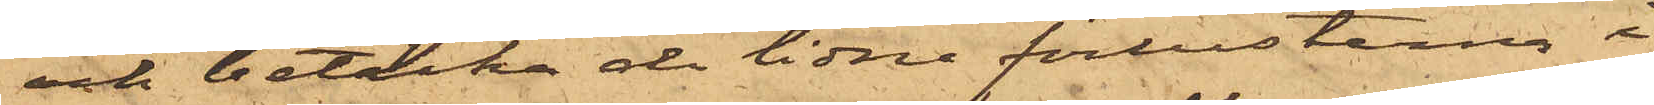och betäcka de lidne förlusterna i
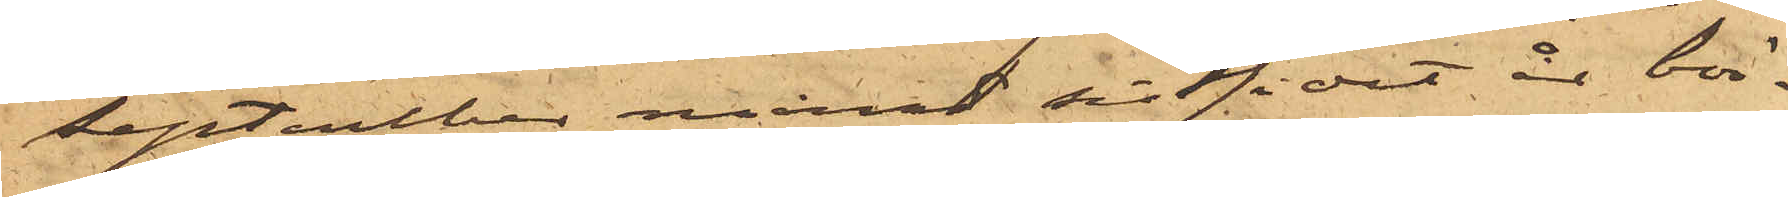September månad sistlidet år bör¬
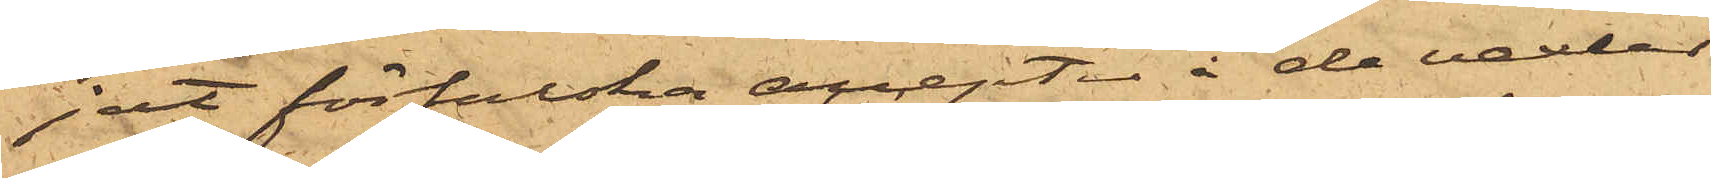jet förfalska accepter å alla vexlar
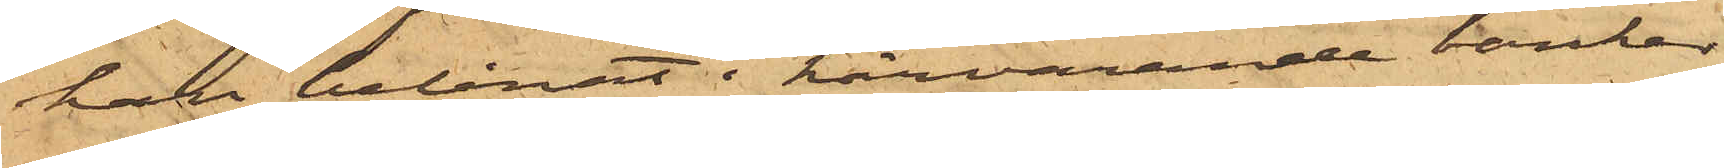han belånat i härvarande banker
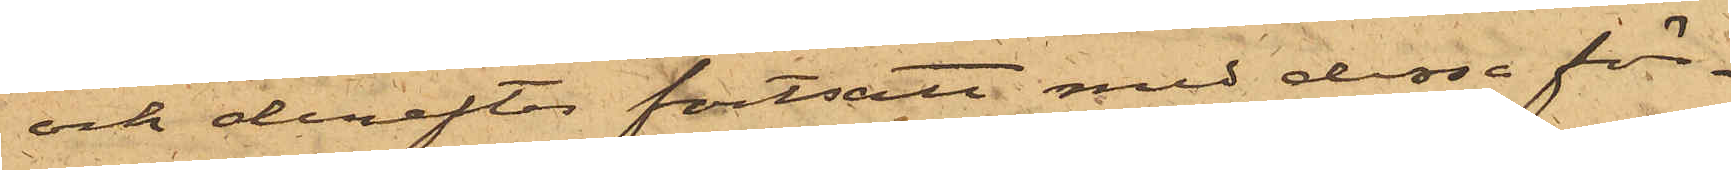och derefter fortsatt med dessa för¬
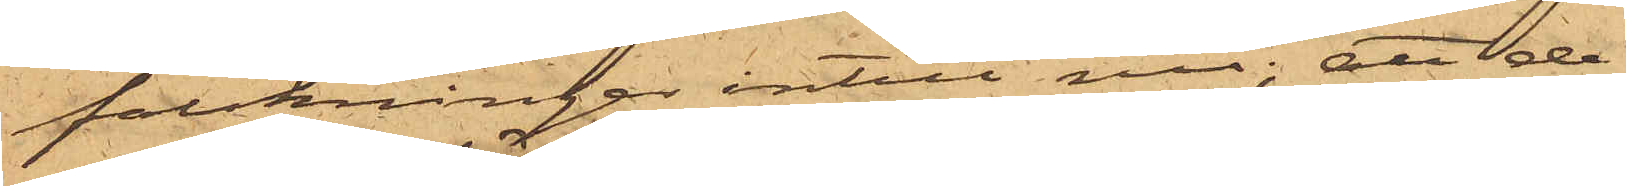falskningar intill nu; att de
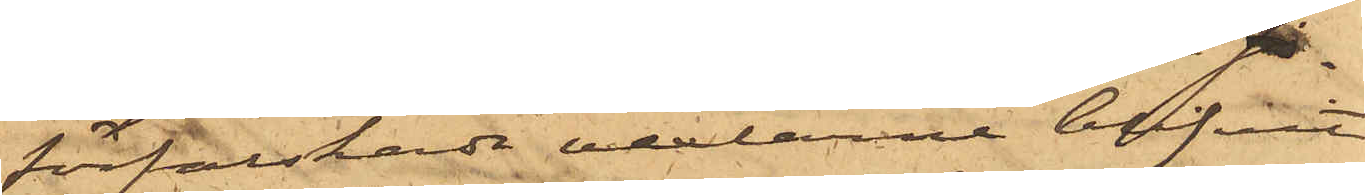förfalskade vexlarne blifvit
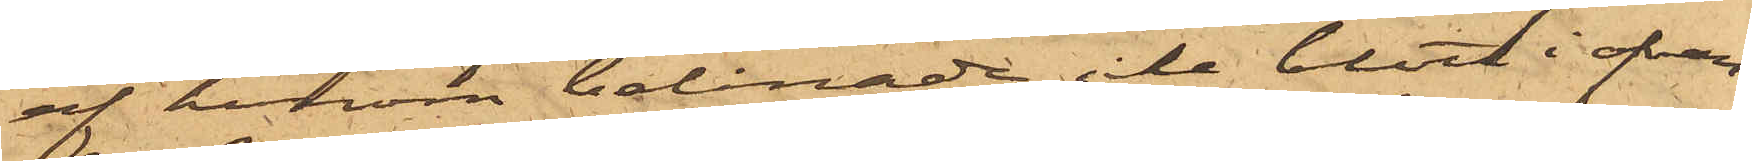af honom belånade icke blott i ofvan¬
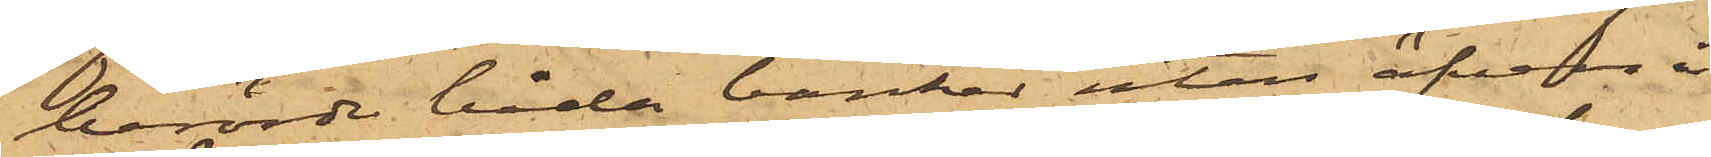berörde båda banker utan äfven i
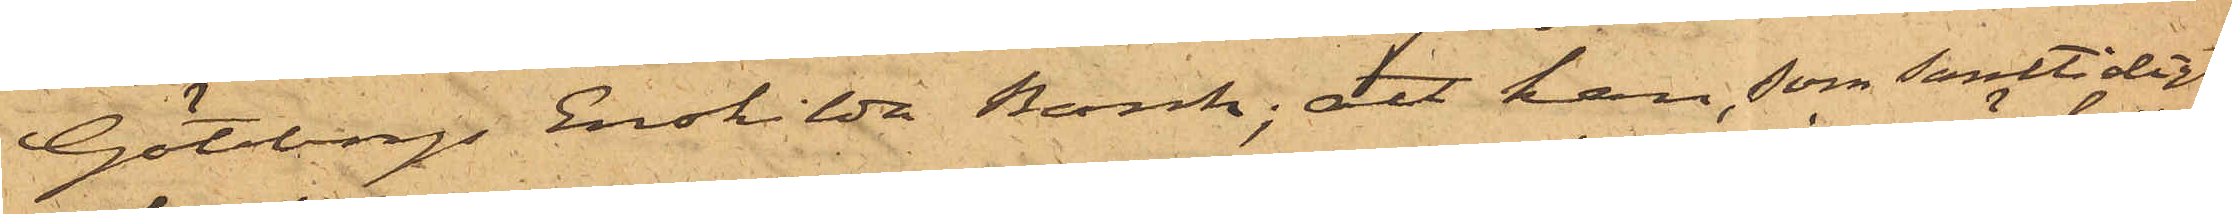Göteborgs Enskilda Bank; att han, som samtidigt
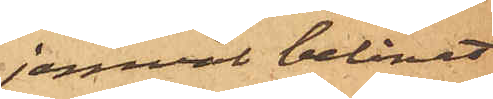jemväl belånat
